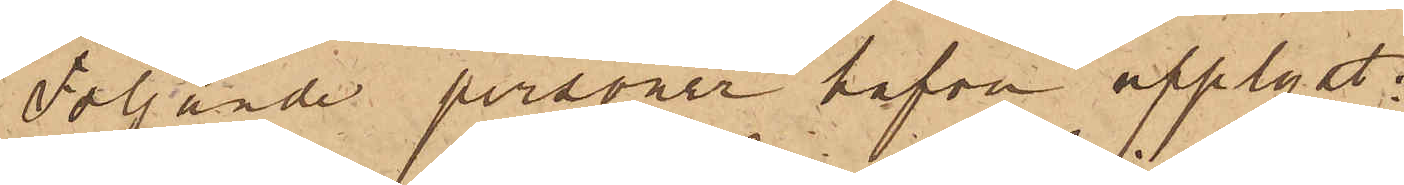Följande personer hafva upplyst:
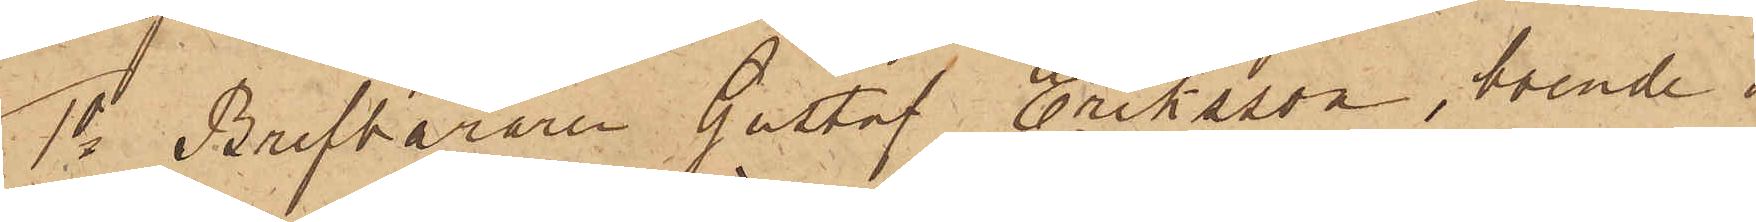1o Brefbäraren Gustaf Eriksson, boende i
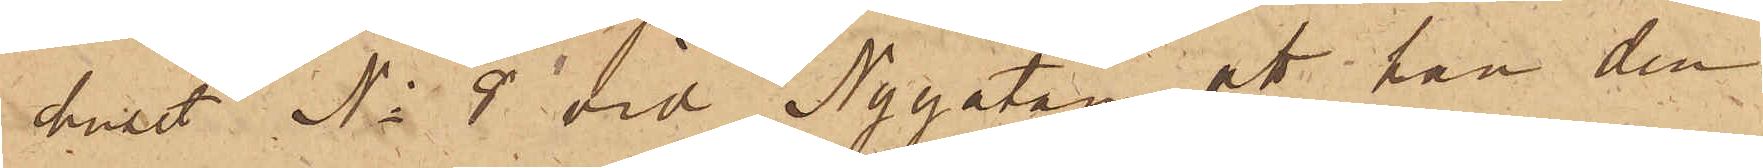huset No 8 vid Nygatan att han den
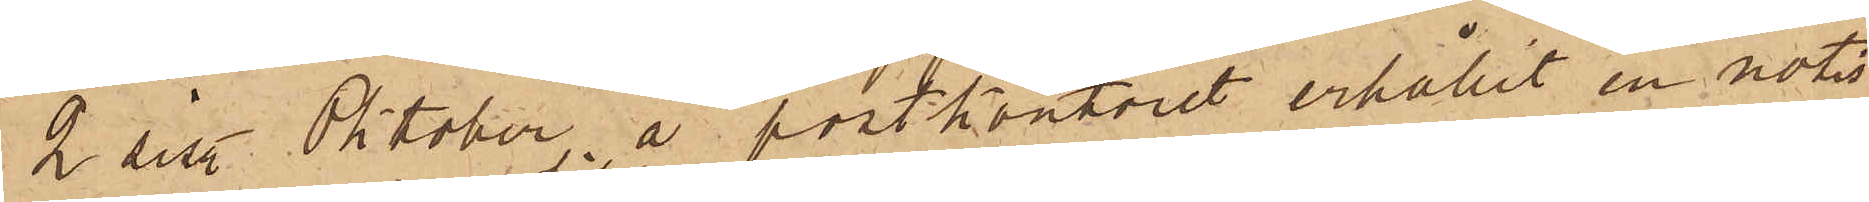2 sist. Oktober å postkontoret erhållit en notis
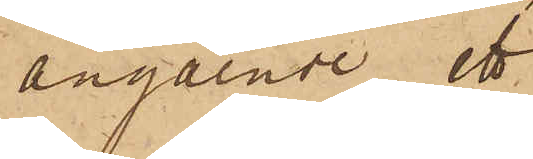angående ett
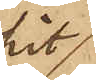hit
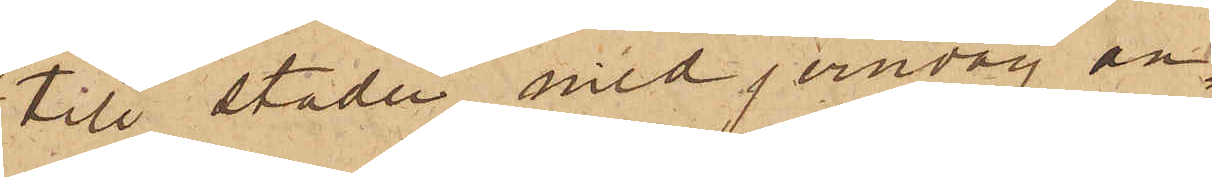till staden med jernväg an¬
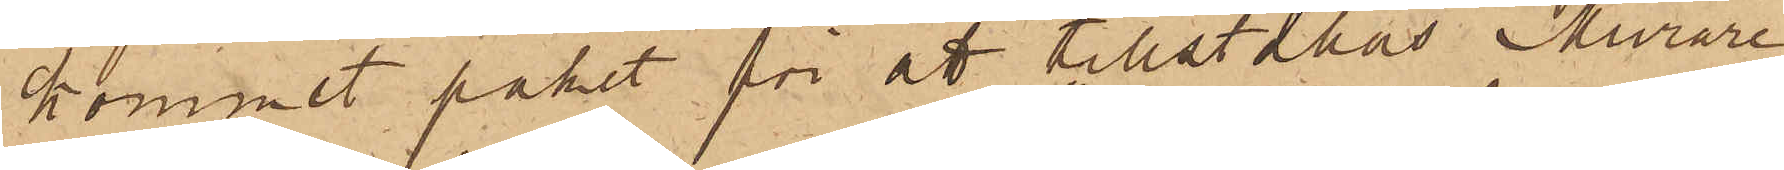kommet paket för att tillställas Murare¬
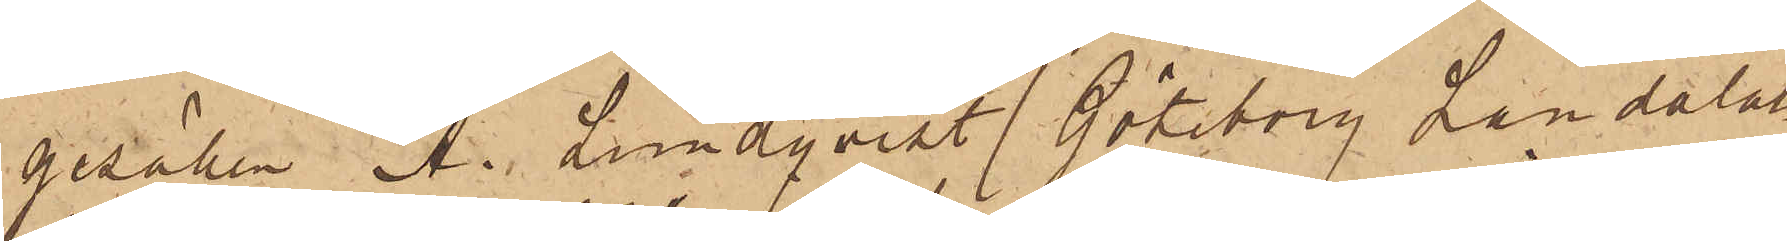gesäken A. Lundqvist "Göteborg Landala¬
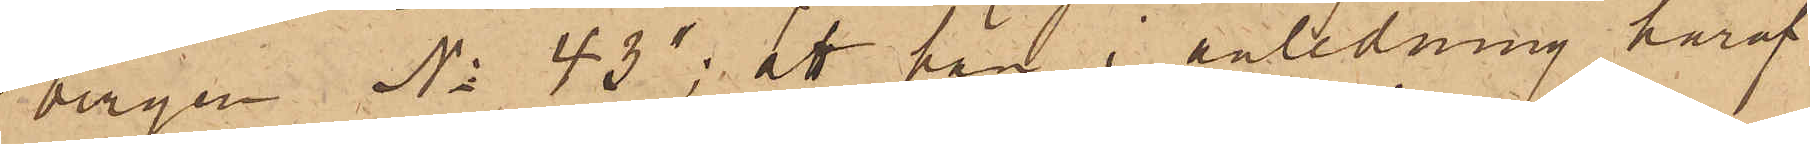bergen No 43"; att han i anledning häraf
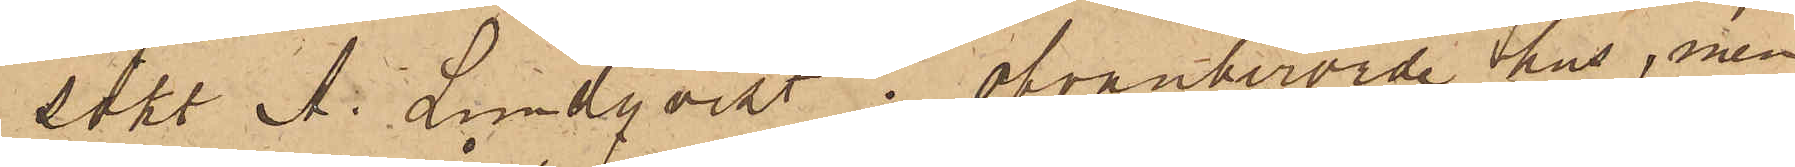sökt A. Lundqvist i ofvanberörde hus, men
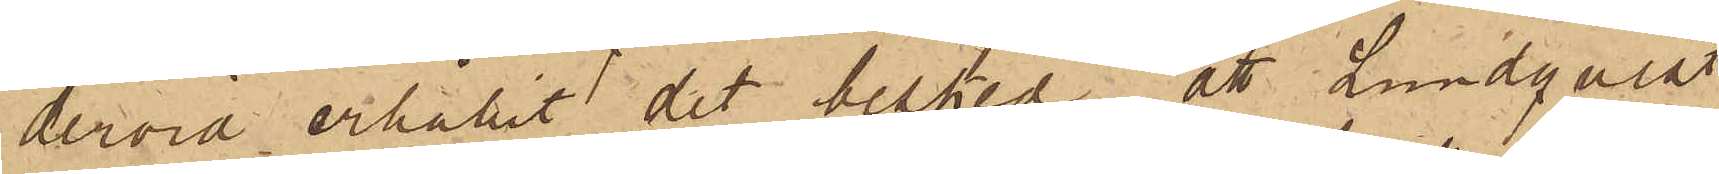dervid erhållit det besked, att Lundqvist
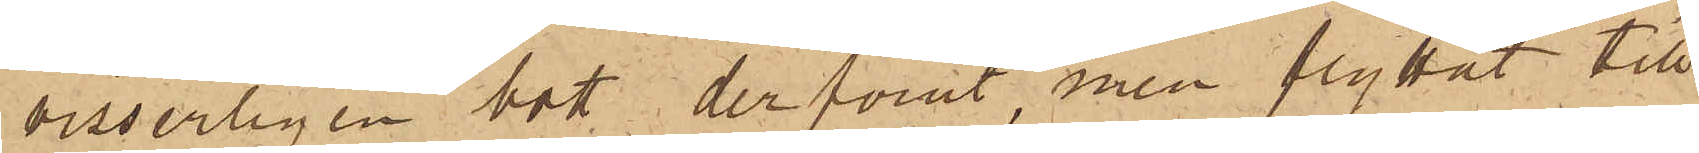visserligen bott der förut, men flyttat till
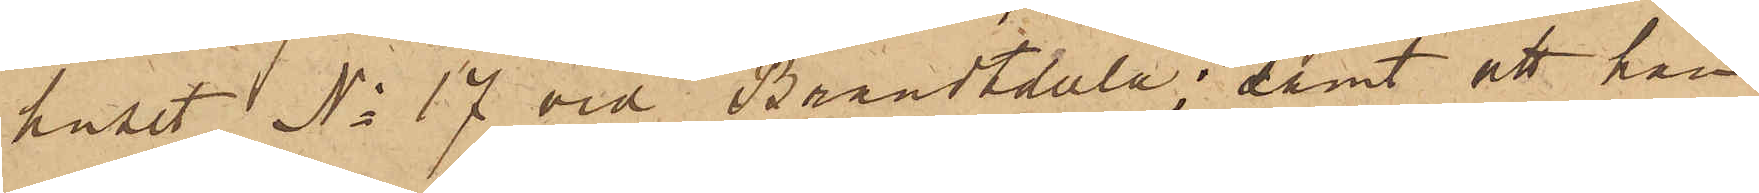huset No 17 vid Brandtdala; samt att han
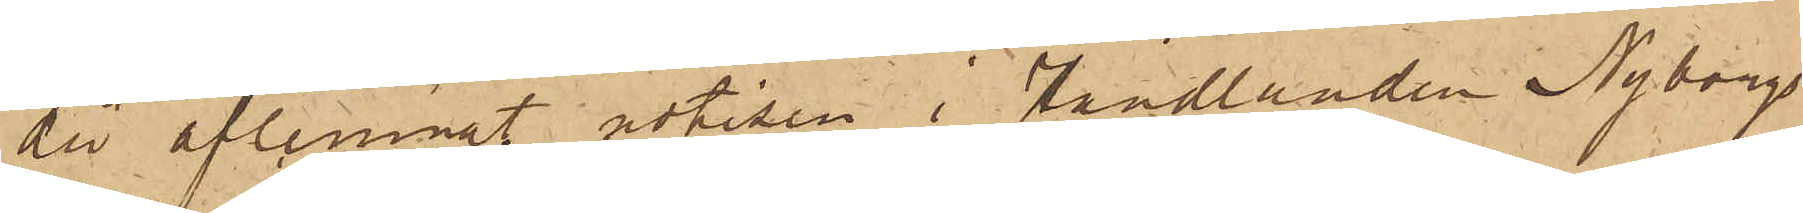då aflemnat notisen i Handlanden Nyborgs
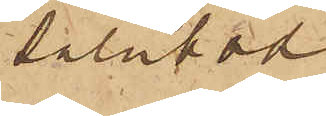salubod
